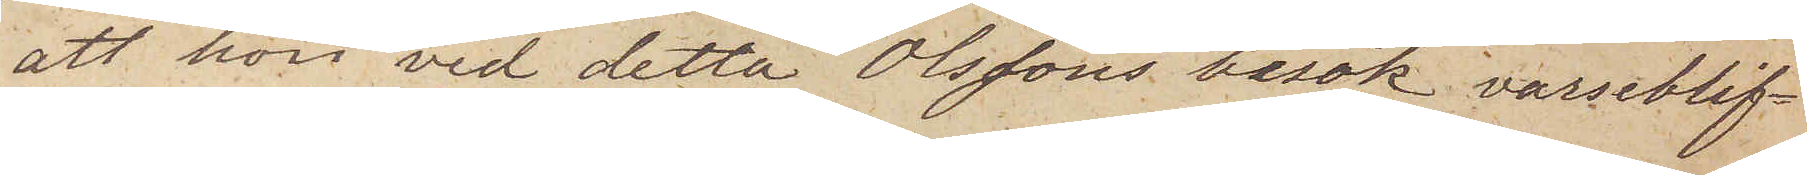att hon vid detta Olssons besök varseblif¬
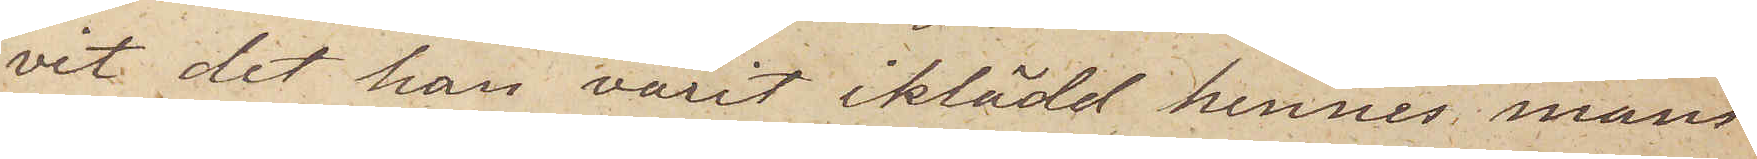vit det han varit iklädd hennes mans
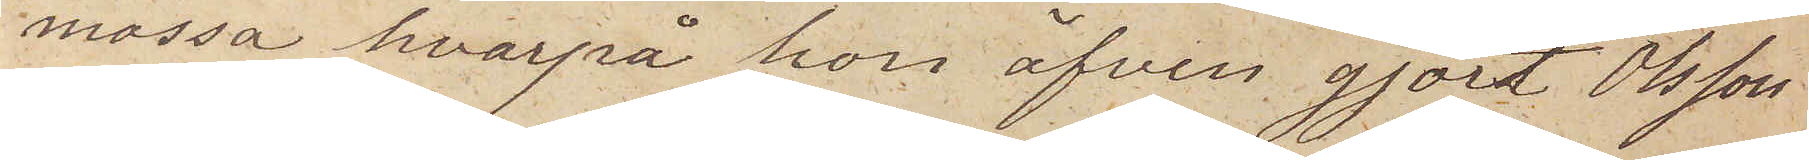mössa hvarpå hon äfven gjort Olsson
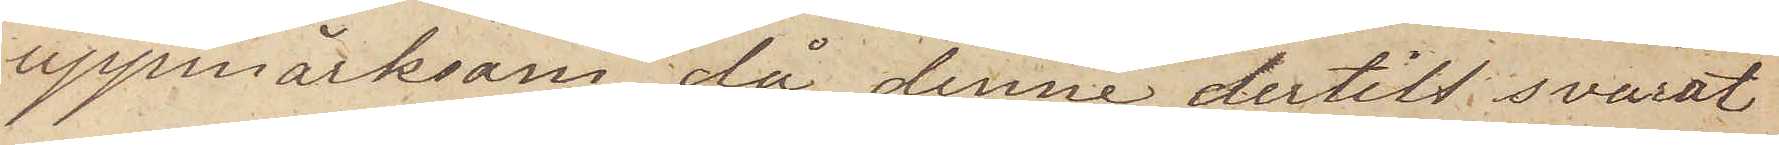uppmärksam, då denne dertill svarat
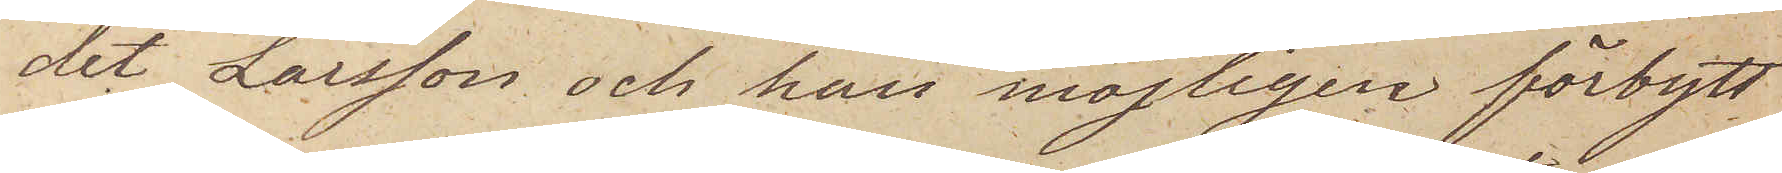det Larsson och han möjligen förbytt
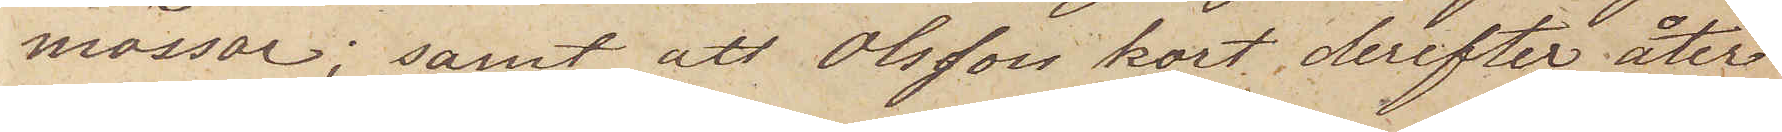mössor; samt att Olsson kort derefter åter
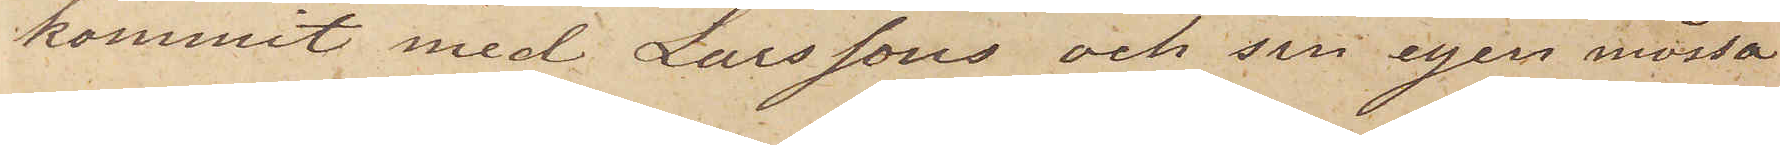kommit med Larssons och sin egen mössa
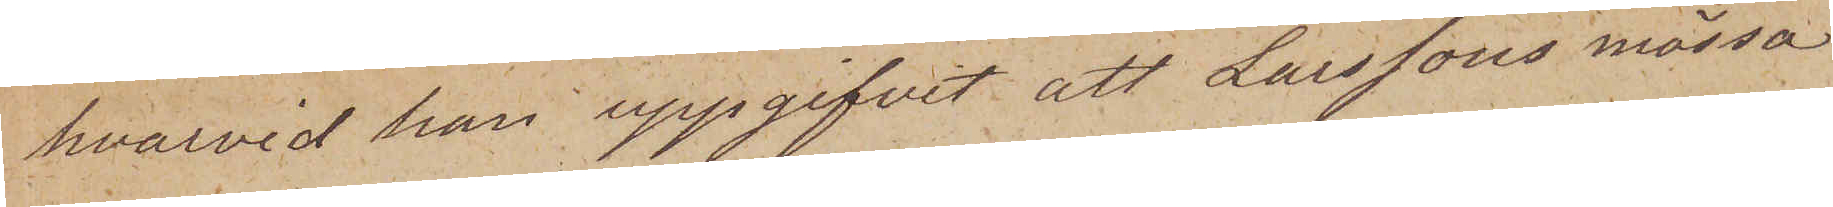hvarvid han uppgifvit att Larssons mössa
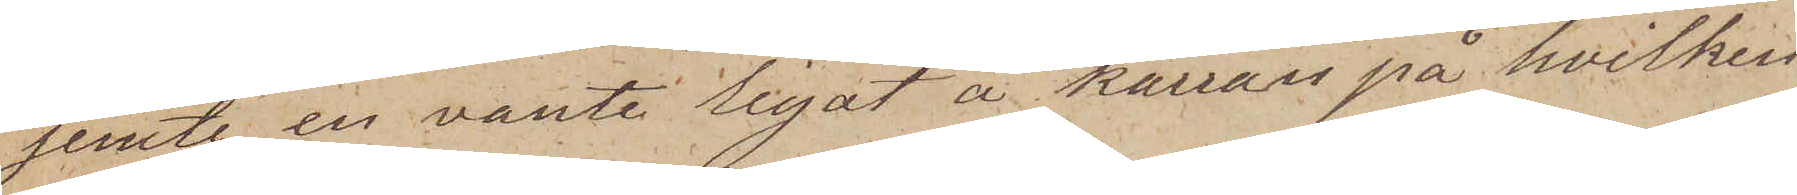jemte en vante legat å kärran på hvilken
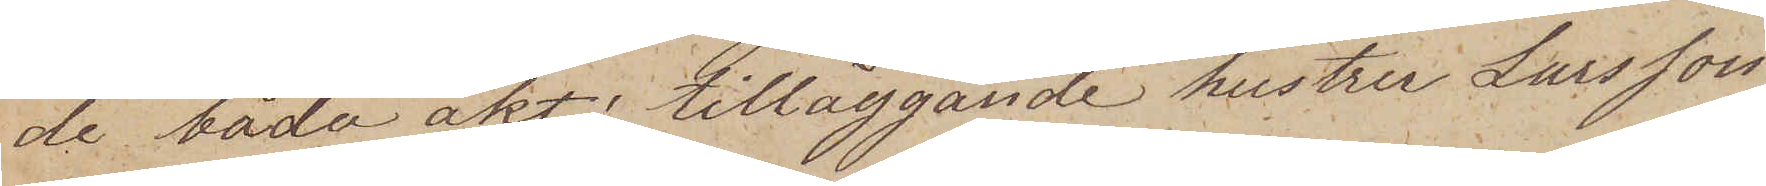de båda åkt; tilläggande hustru Larsson
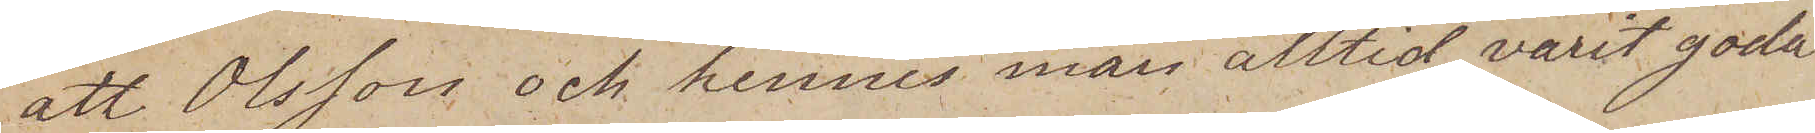att Olsson och hennes man alltid varit goda
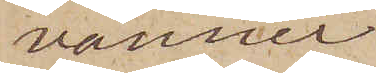vänner
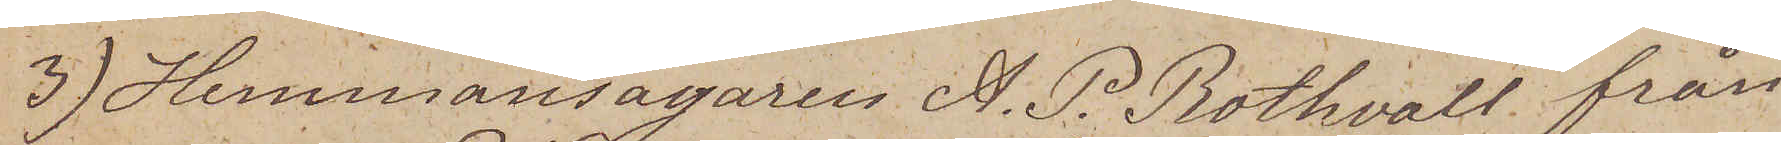3) Hemmansägaren A. P. Rothvall från
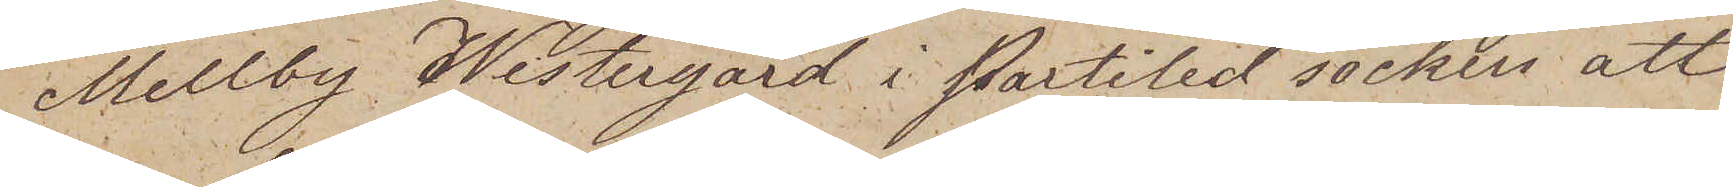Mellby Westergård i Partiled socken att
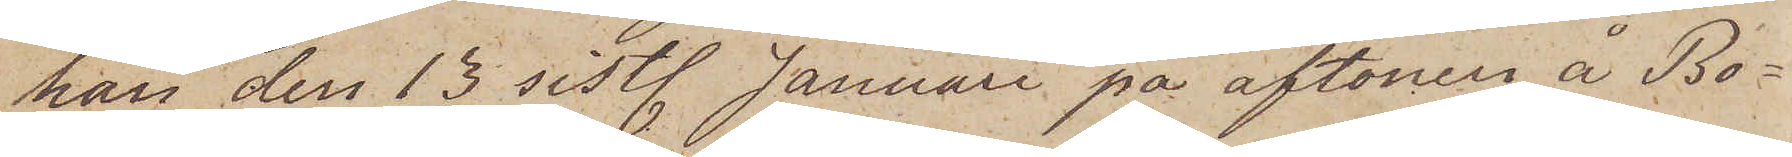han den 15 sist. Januari på aftonen å Bo¬
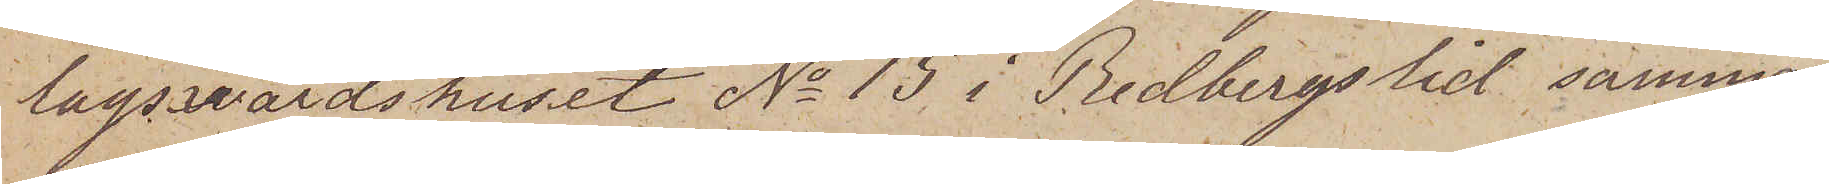lagsvärdshuset No 15 i Redbergslid samman
